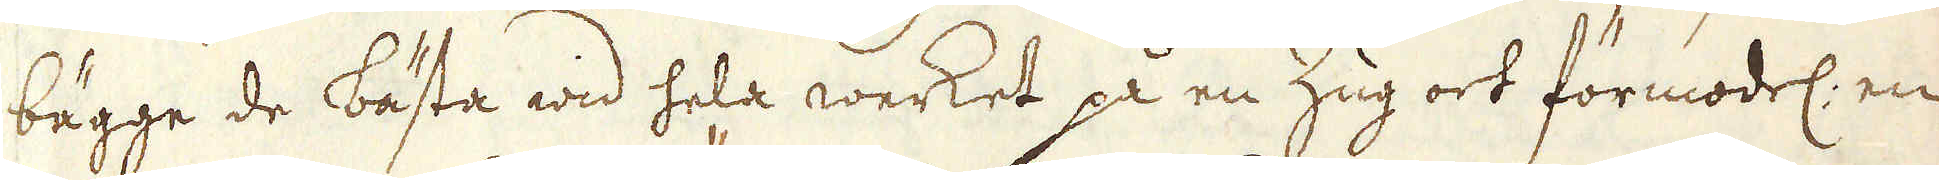bägge de bästa wid hela werket på en Zug ock förmodel: en
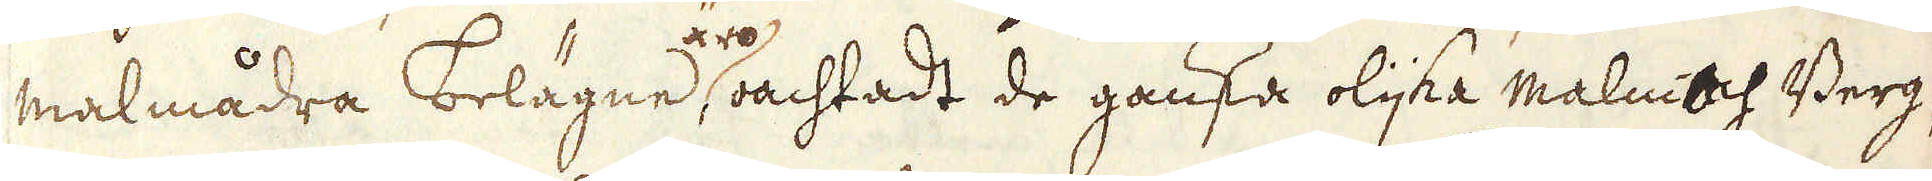malmådra belägne äro oachtadt de ganska olijka malm och Berg-
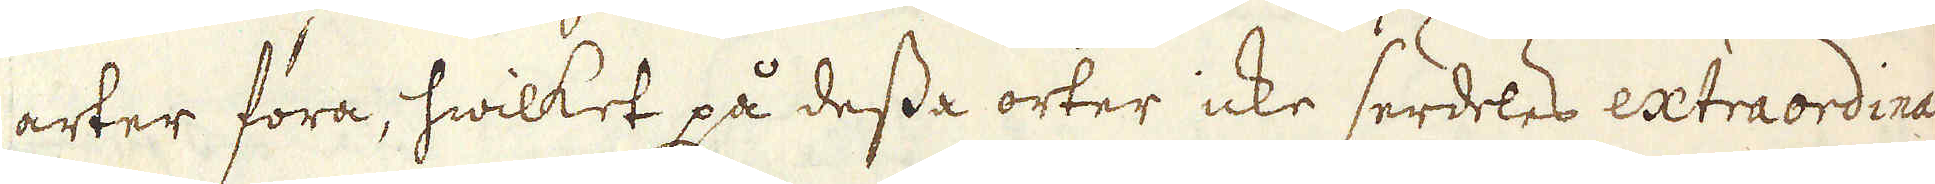arter föra, hwilket på dessa orter icke serdeles extraordinairt
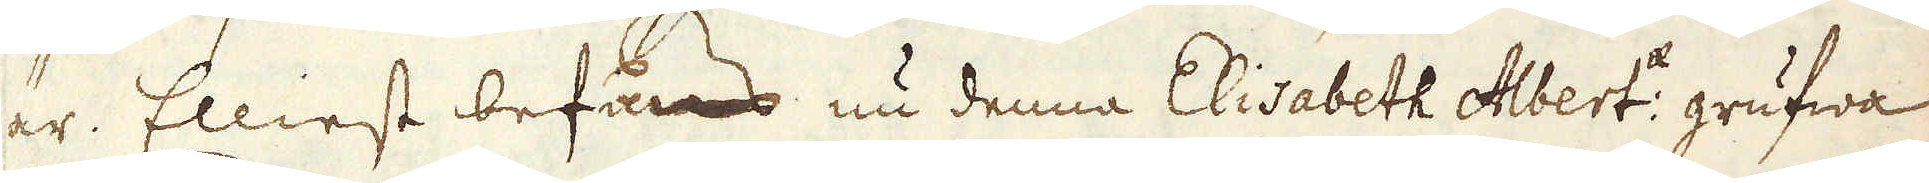är. Elliest befans nu denna Elisabeth Albert:ae grufwa
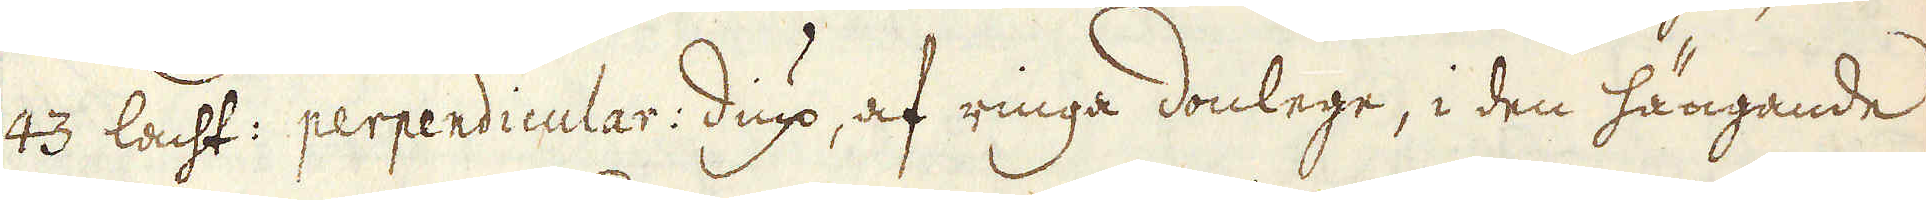43 lacht: perpendicular: diup, af ringa donlege, i den hängande
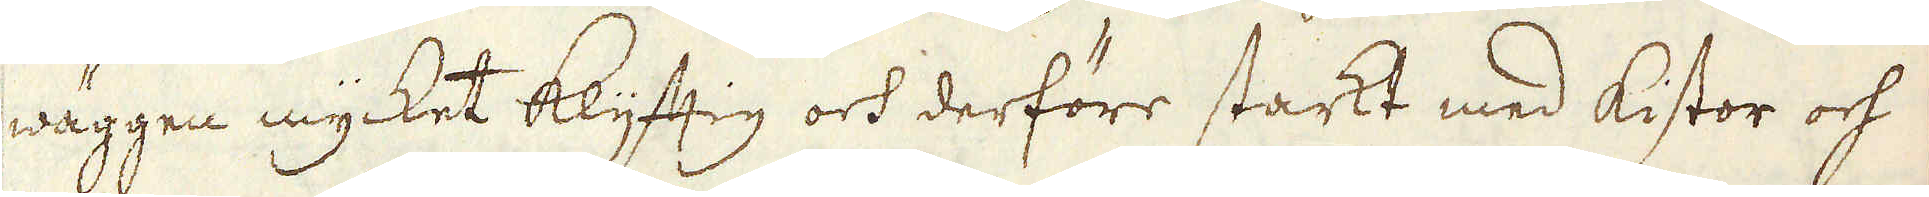wäggen mycket Klyftig och derföre starkt med kistor och
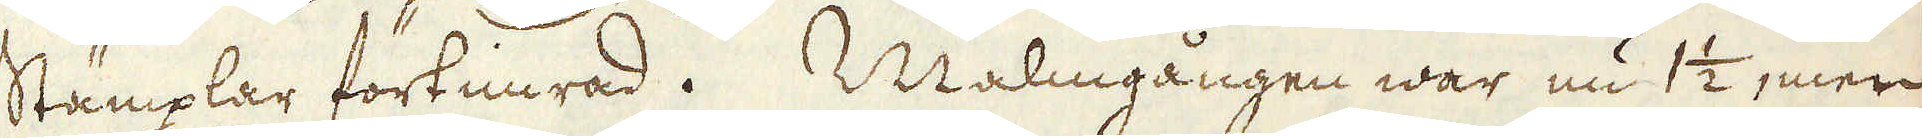stämplar förtimrad. Malmgången war nu 1 1/2, men
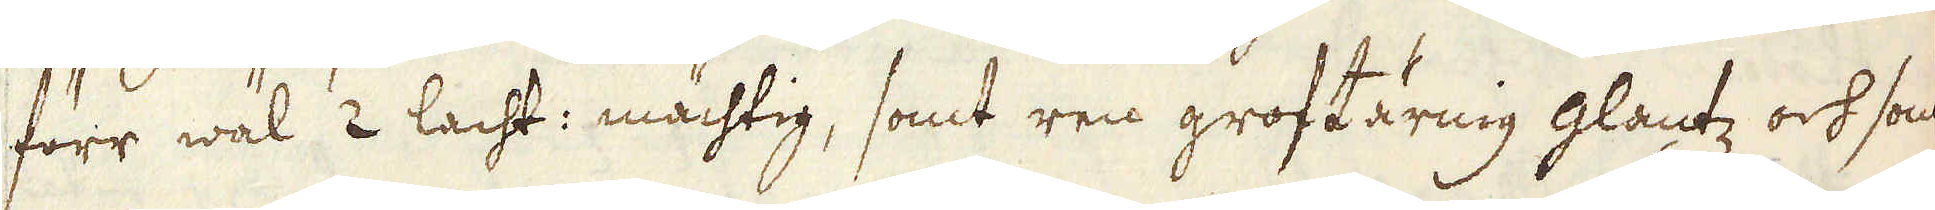förr wäl 2 lacht: mächtig, samt ren groftärnig glantz och som
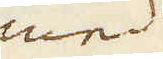med
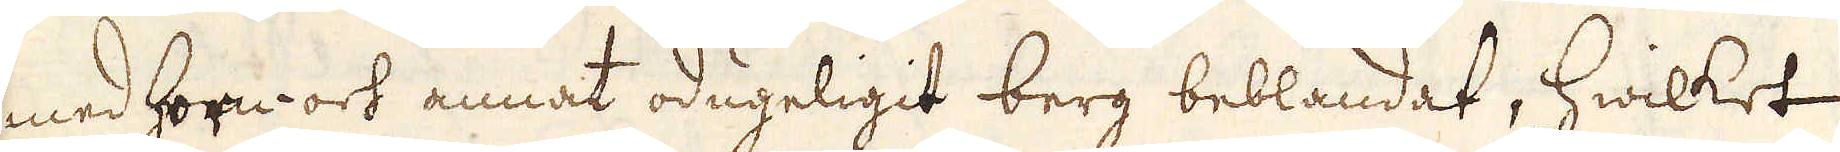med Horn- och annat odugeligit berg beblandat, hwilket
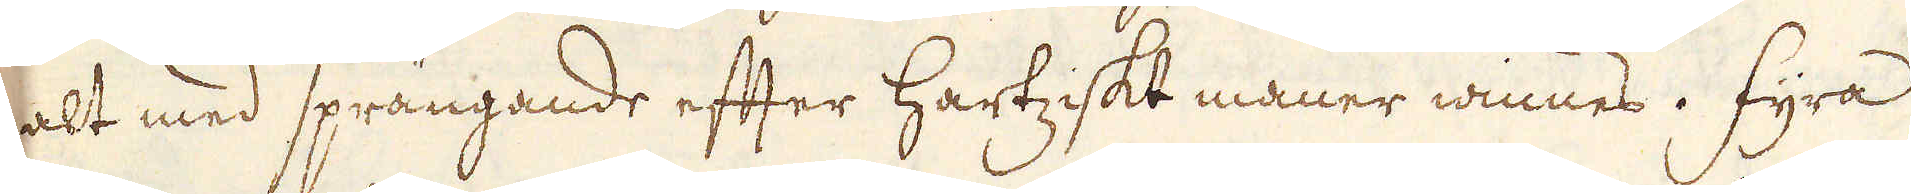alt med sprängande efter Hartziskt maner winnes. Fyra
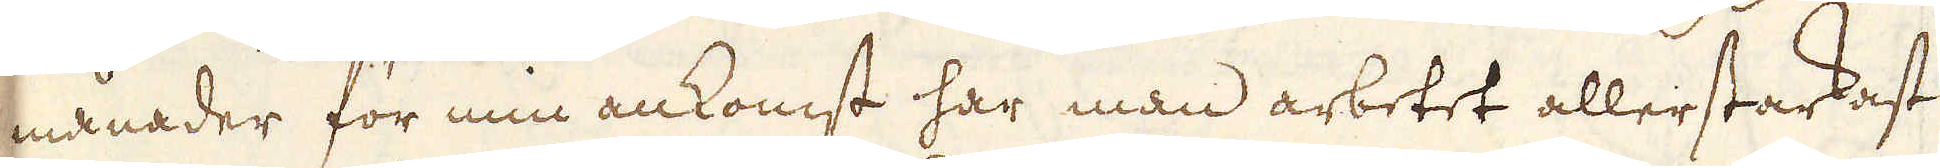månader för min ankomst har man arbetet aller starkast
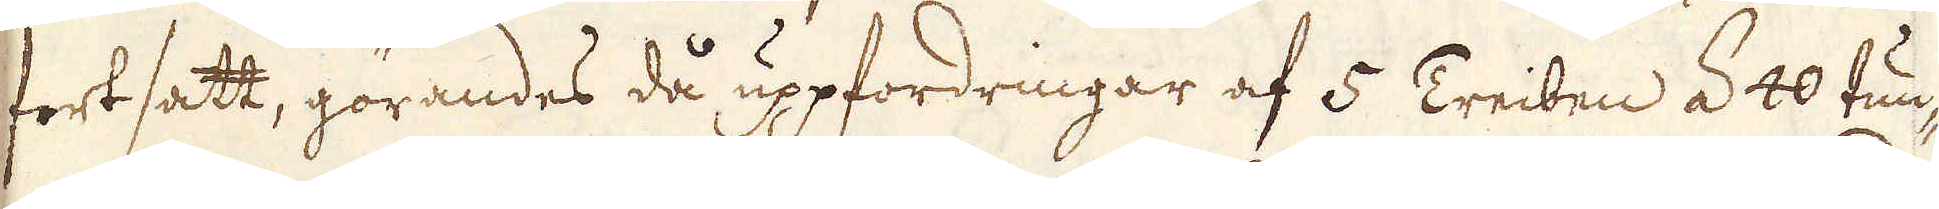fortsatt, görandes då uppfordringar af 5 Treiben á 40 tun-
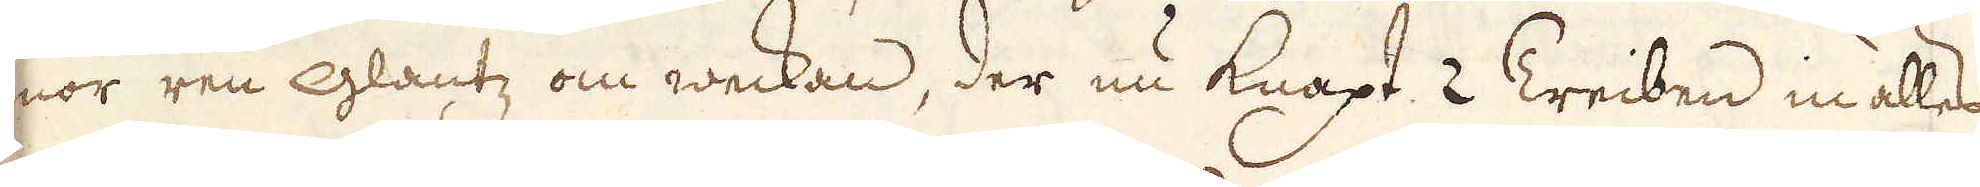nor ren Glantz om weckan, der nu knapt 2 Treiben ialles
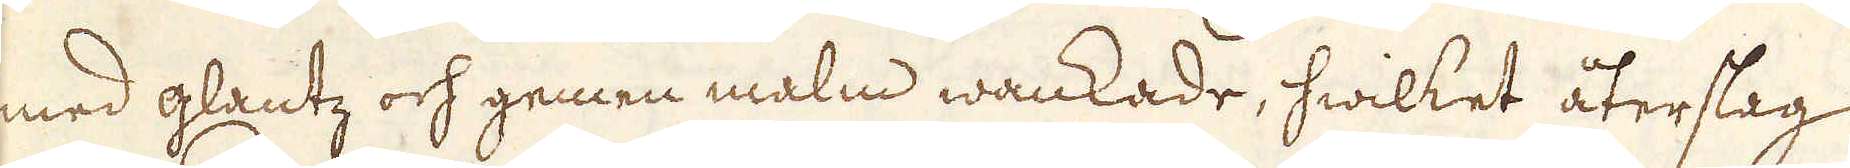med glantz och gemen malm wankade, hwilket återslag
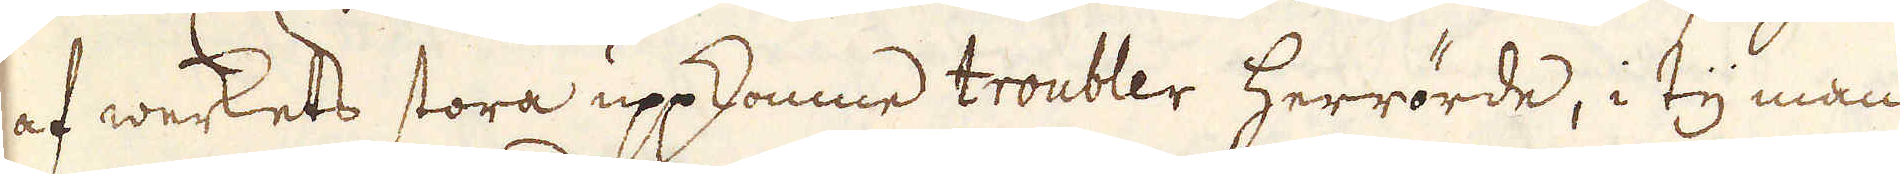af werkets stora uppkomne troubler herrörde, i ty man
